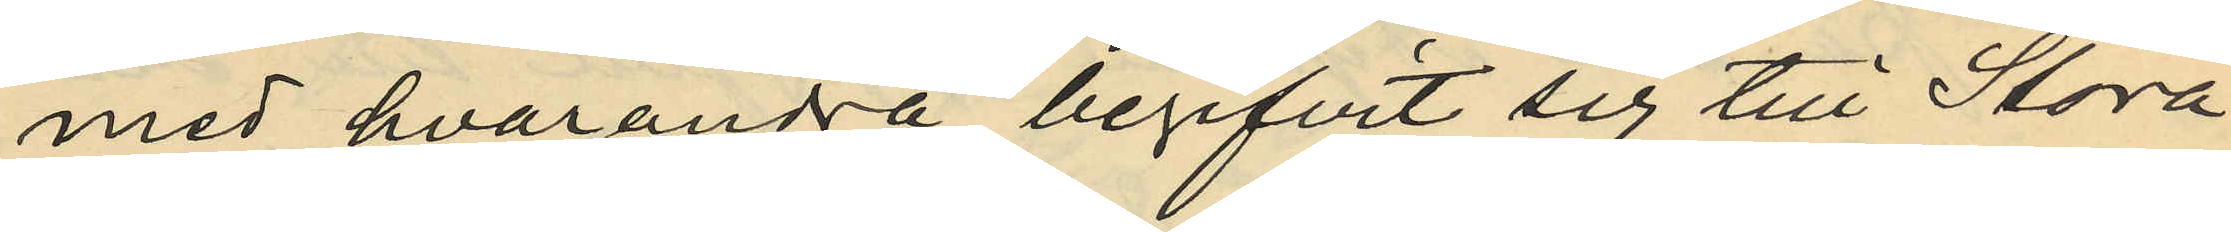med hvarandra begifvit sig till Stora
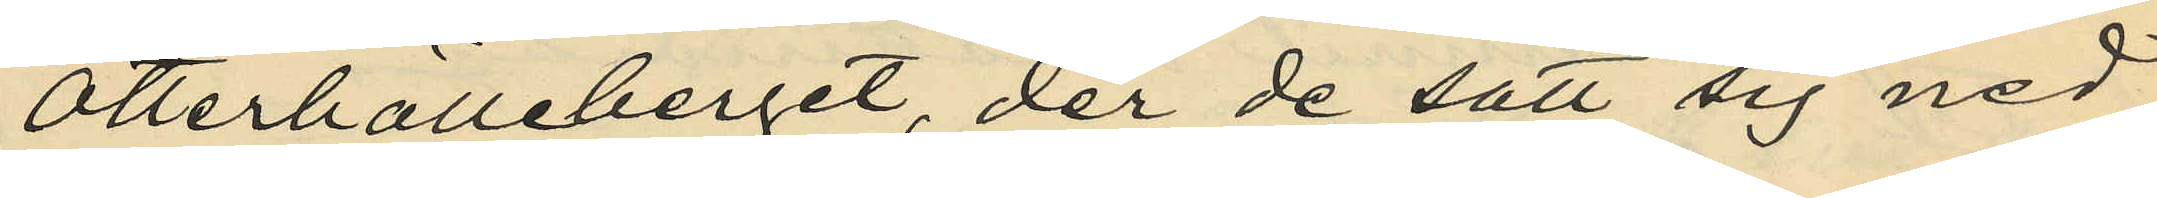Otterhälleberget, der de satt sig ned
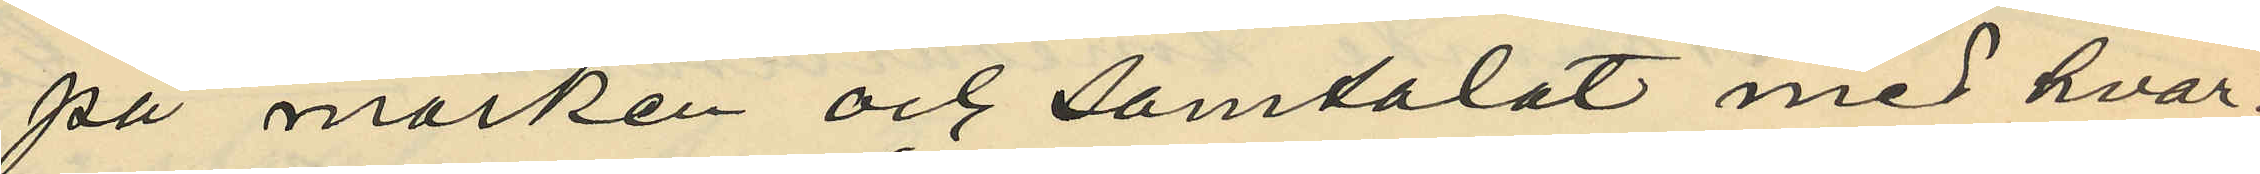på marken och samtalat med hvar¬
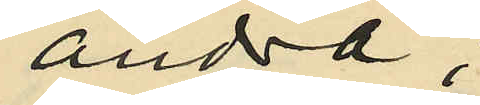andra;
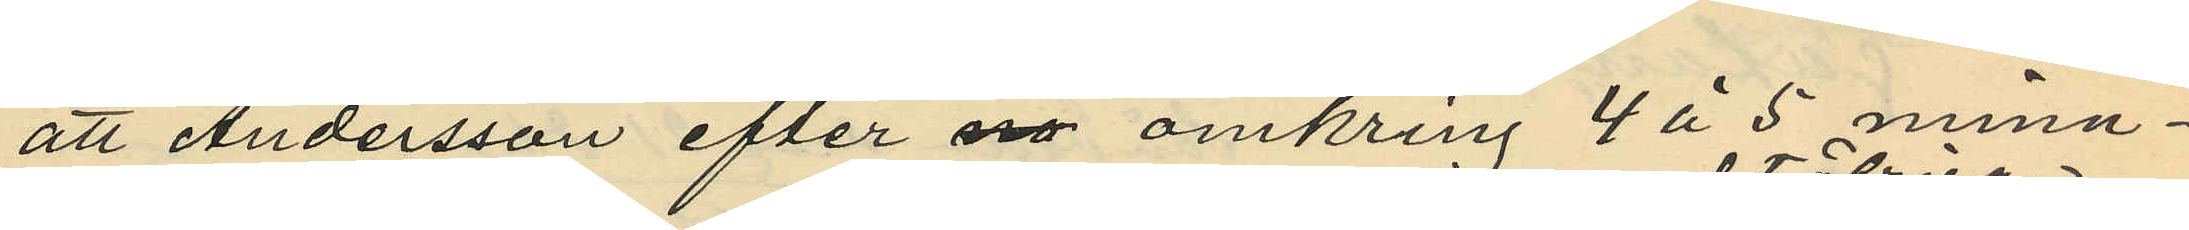att Andersson efter omkring 4 à 5 minu¬
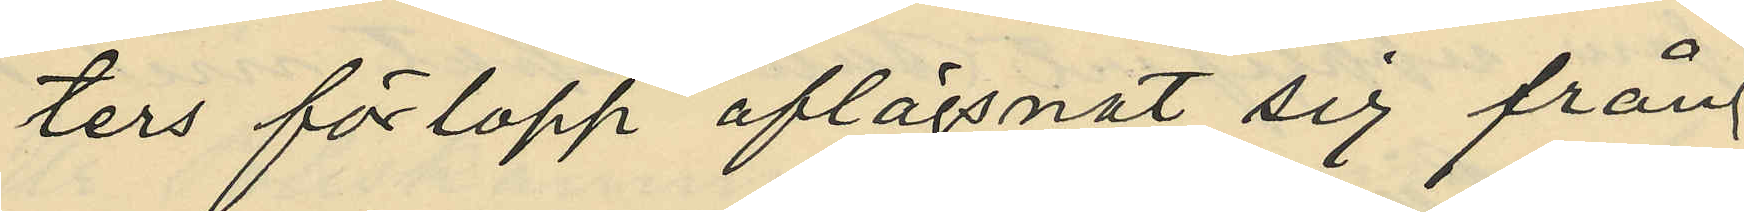ters förlopp aflägsnat sig från
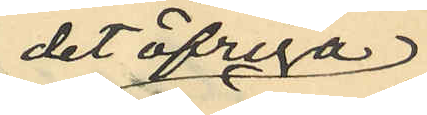det öfriga
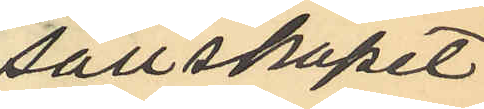sällskapet
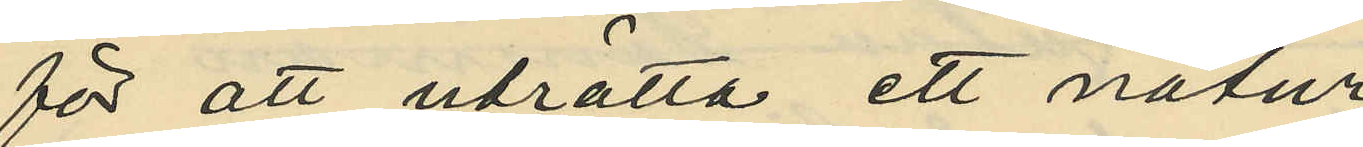för att uträtta ett natur¬
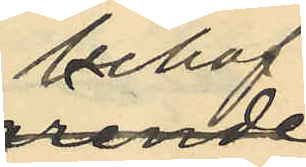behof
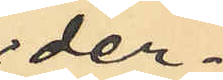der¬
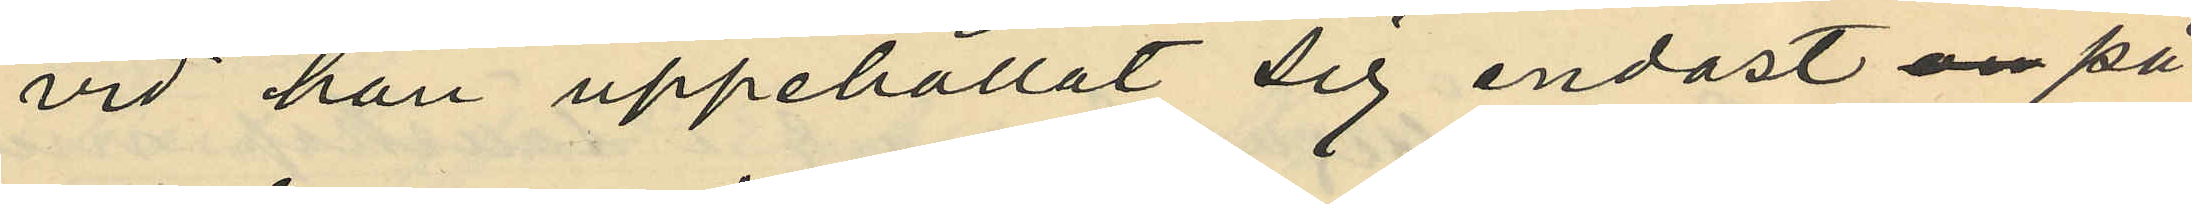vid han uppehållat sig endast på
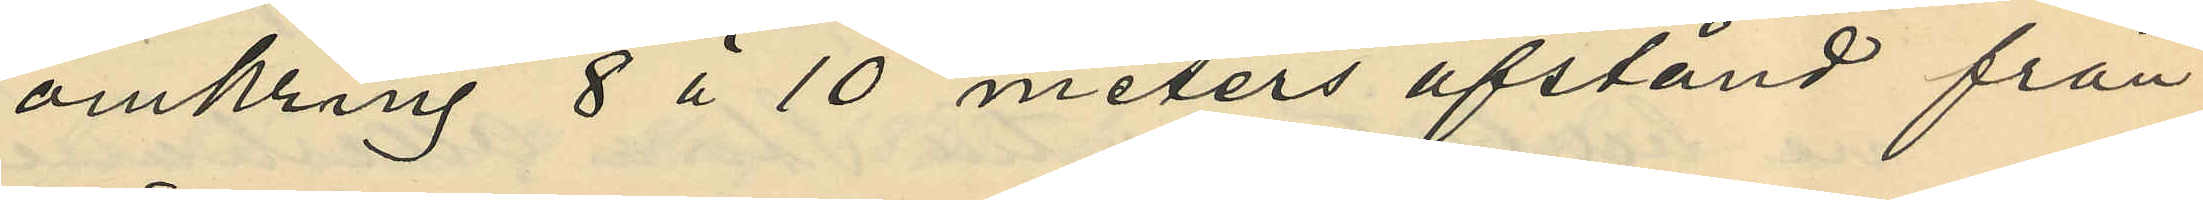omkring 8 à 10 meters afstånd från
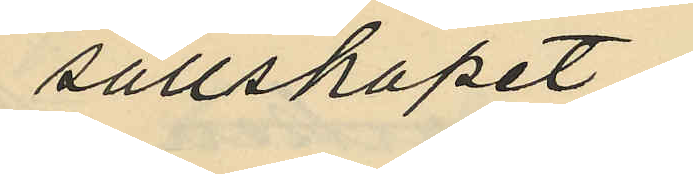sällskapet
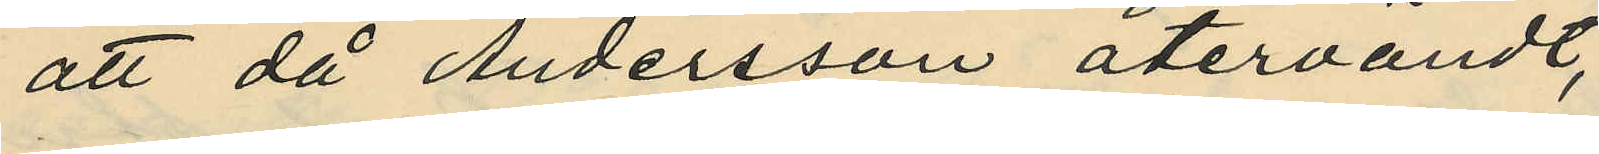att då Andersson återvändt,
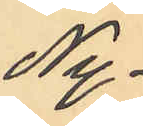Ny¬
